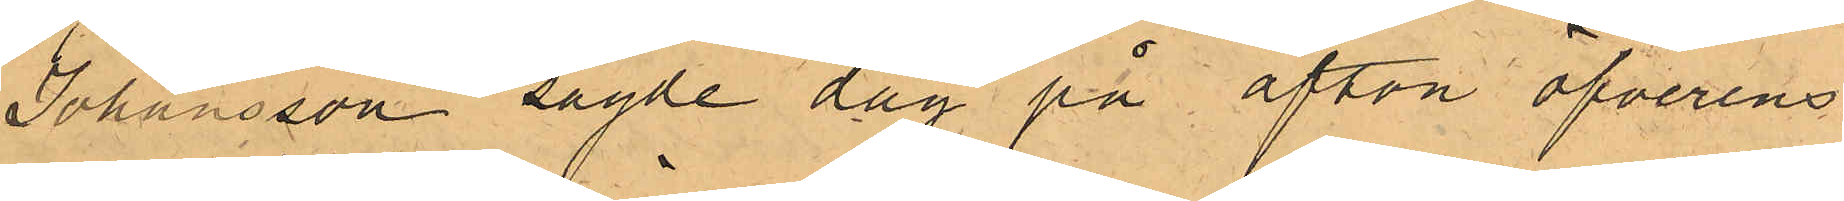Johansson sagde dag på afton öfverens¬
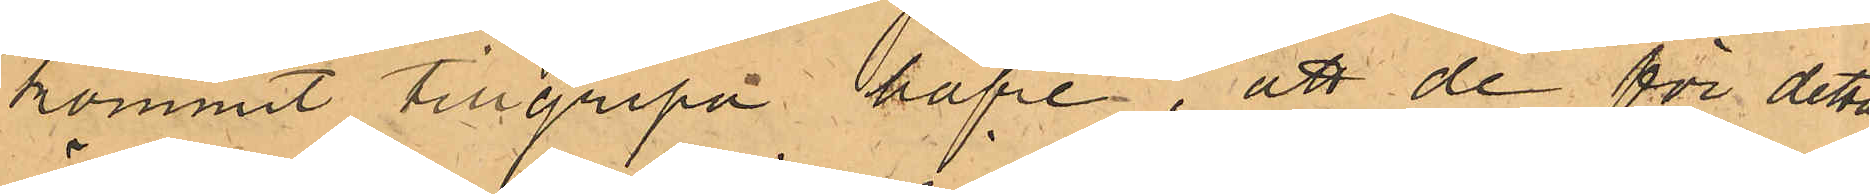kommit tillgripa hafre, att de för detta
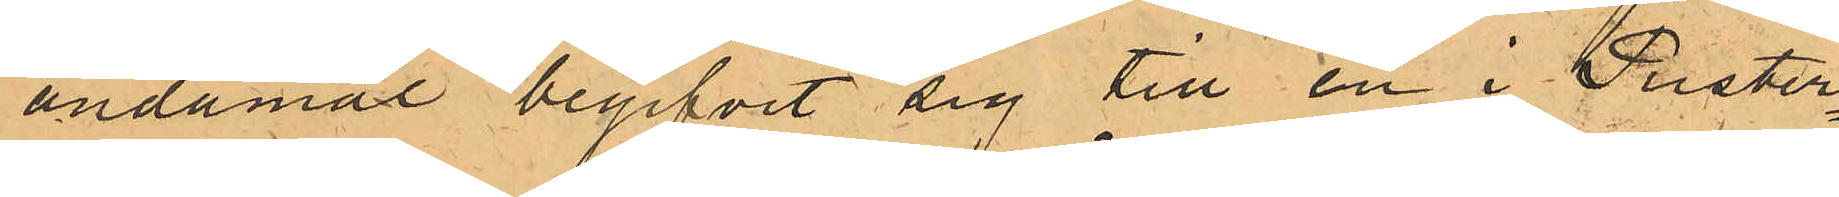ändamål begifvit sig till en i Puster¬
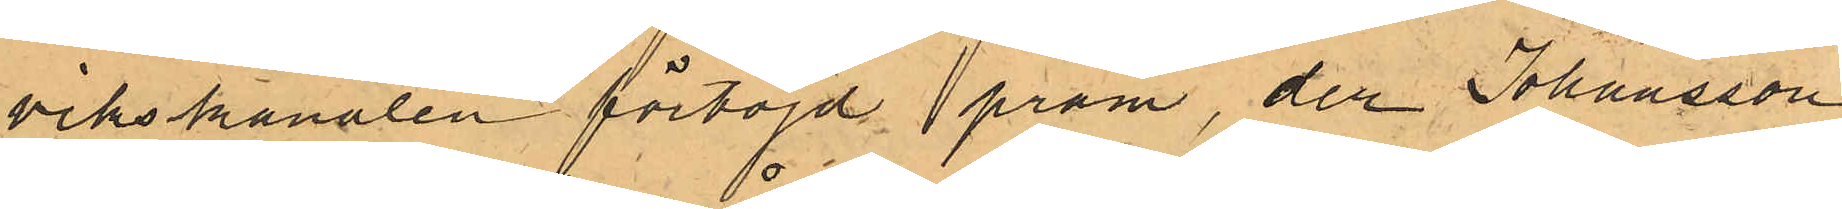vikskanalen förtöjd pråm, der Johansson
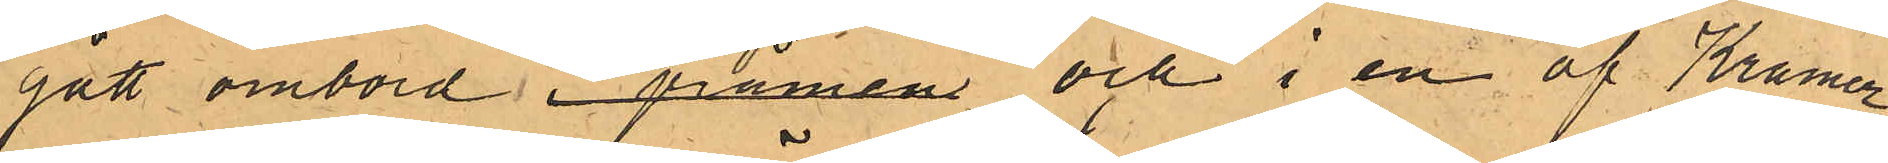gått ombord i pråmen och i en af Kramer
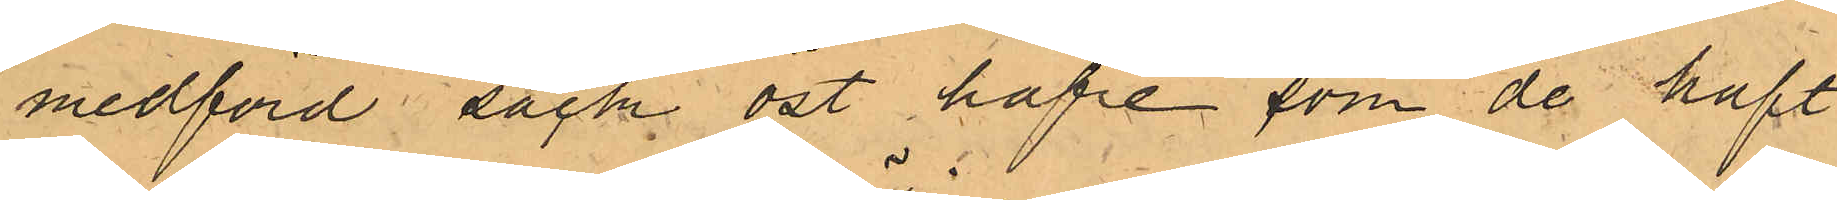medförd säck öst hafre som de haft
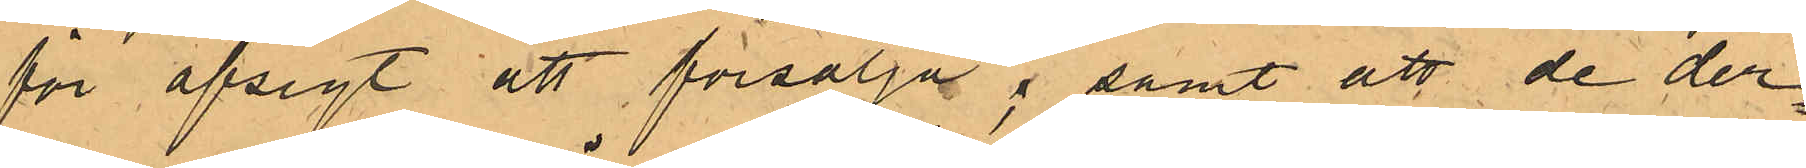för afsigt att försälja; samt att de der¬
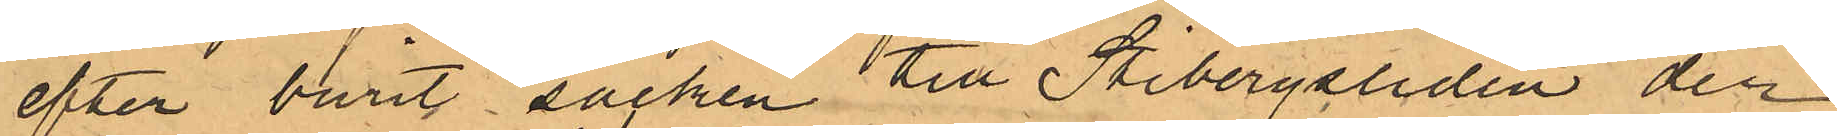efter burit säcken till Stigbergsliden der
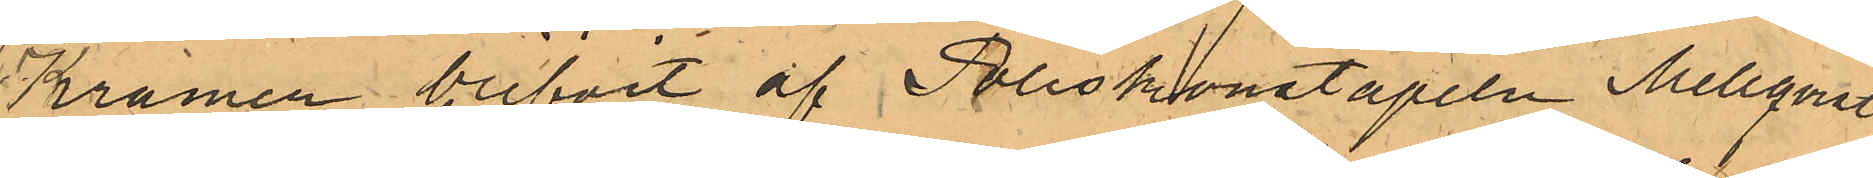Kramer blifvit af Poliskonstapeln Mellqvist
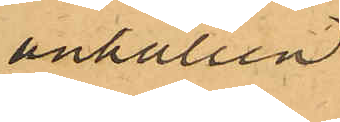anhållen
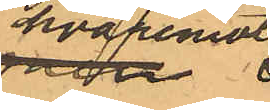hvaremot
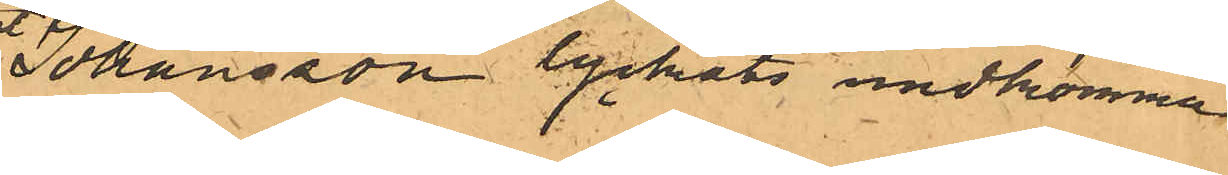Johansson lyckats undkomma
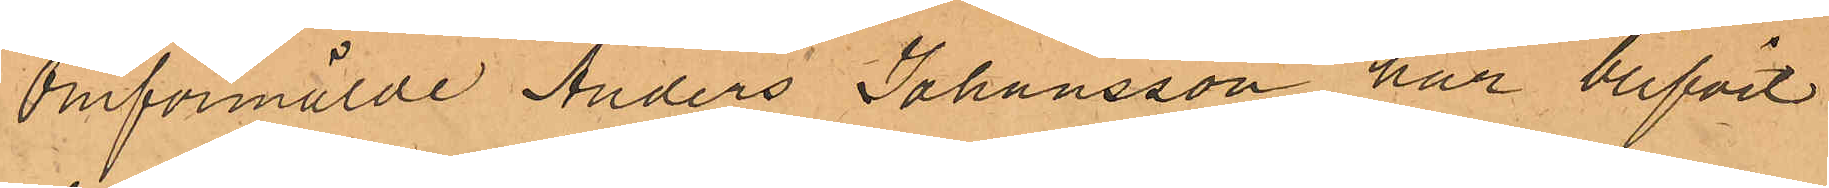Omförmälde Anders Johansson har blifvit
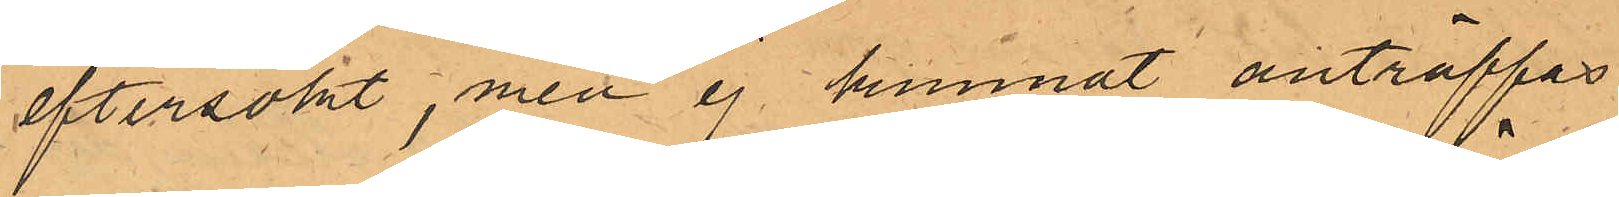eftersökt, men ej kunnat anträffats.
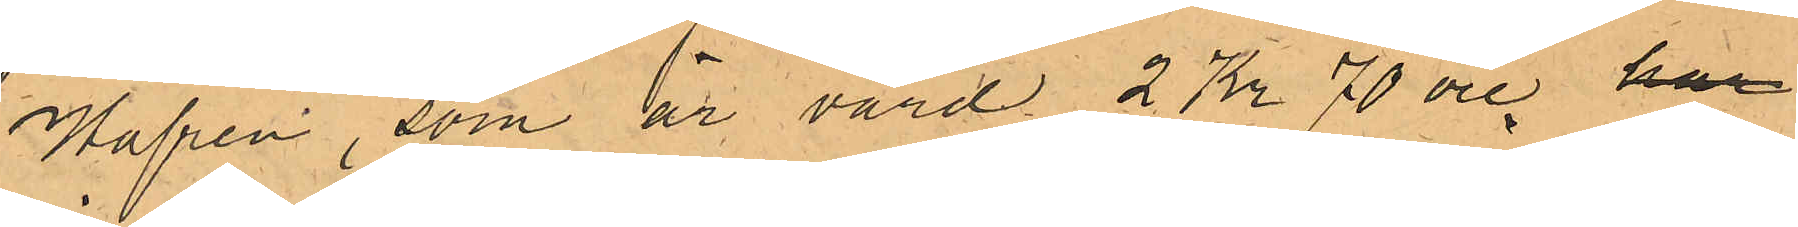Hafren, som är värd 2 Kr 70 öre har
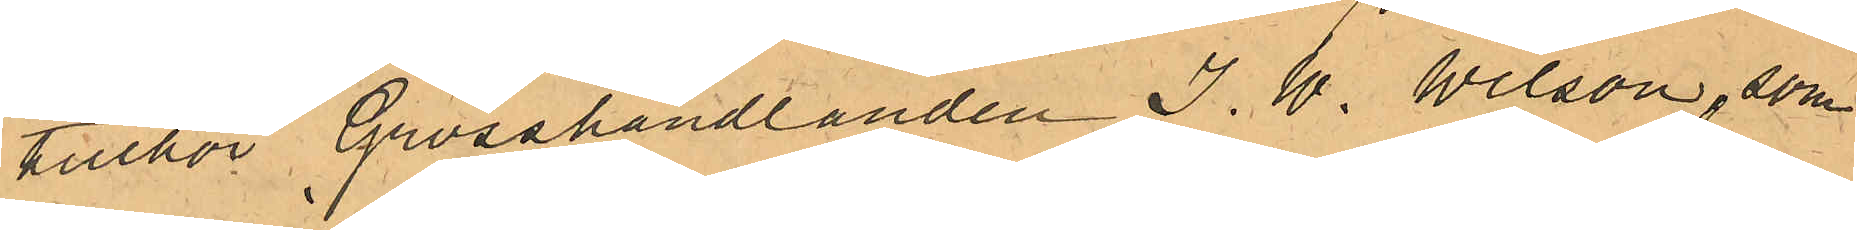tillhör Grosshandlanden J. W. Wilson, som
